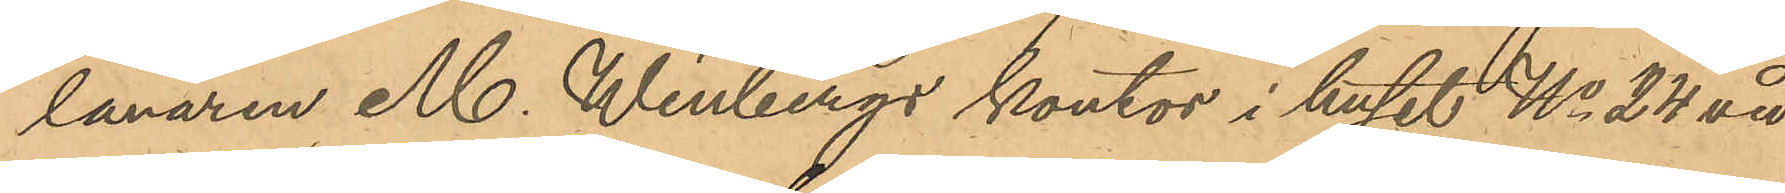lånaren M. Winbergs kontor i huset No 24 vid
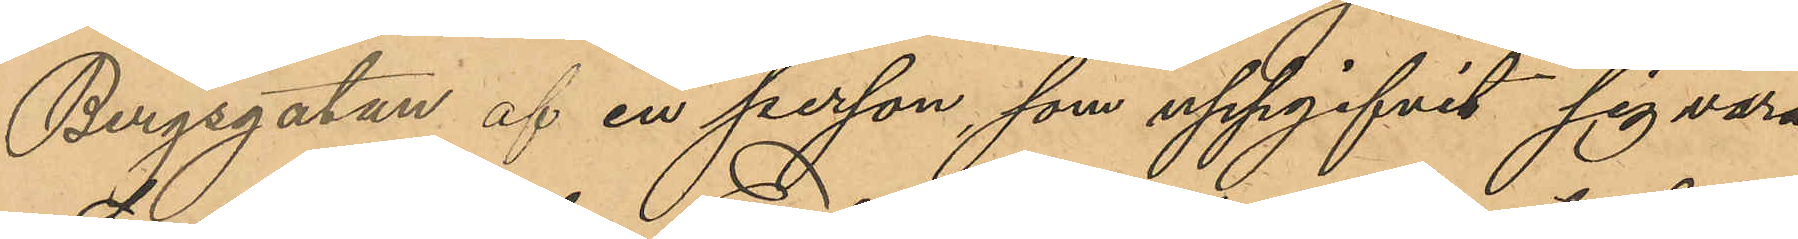Bergsgatan ef en person som uppgifvit sig vara
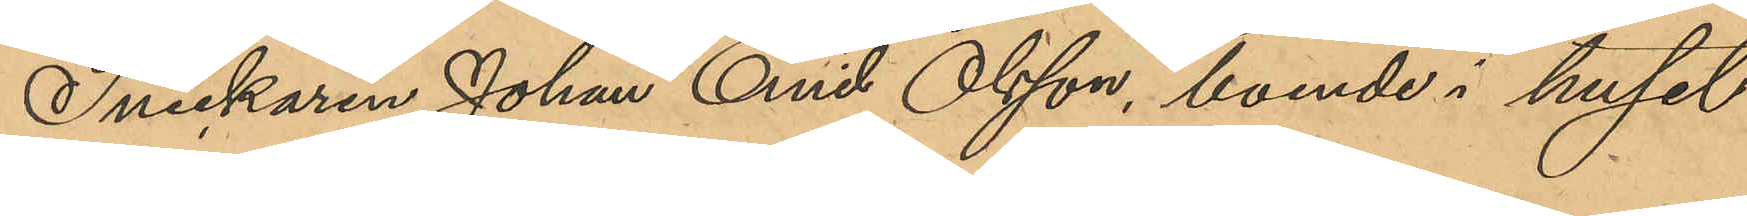Snickaren Johan Emil Olsson, boende i huset
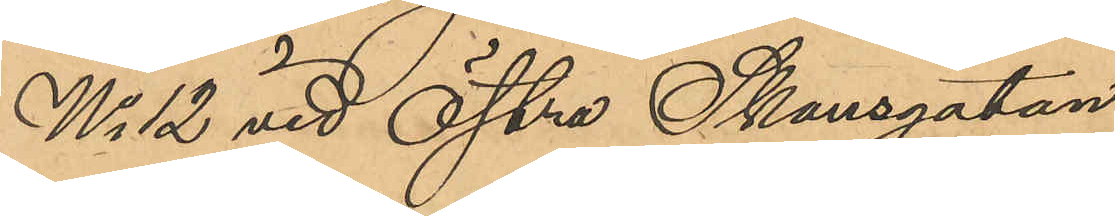No 12 vid Östra Skansgatan.
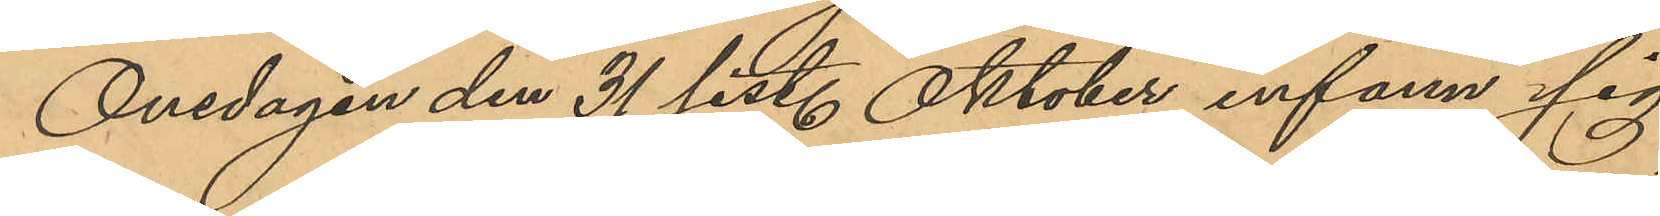Onsdagen den 31 sist. Oktober infann sig
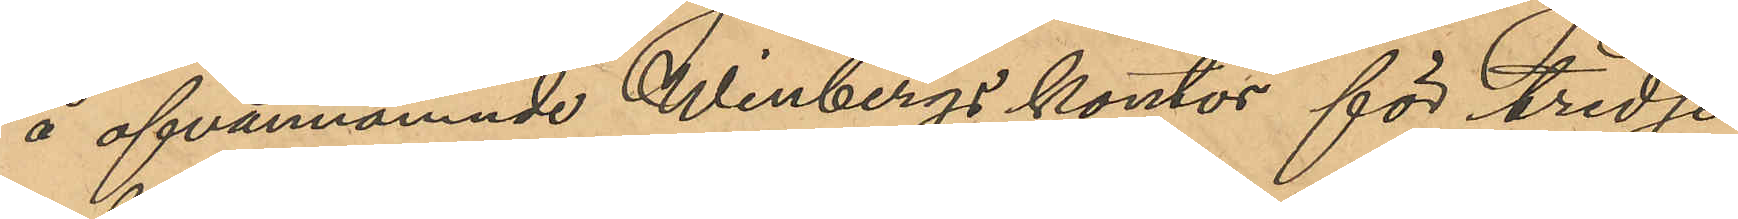å ofvannämnde Winbergs kontor för tredje
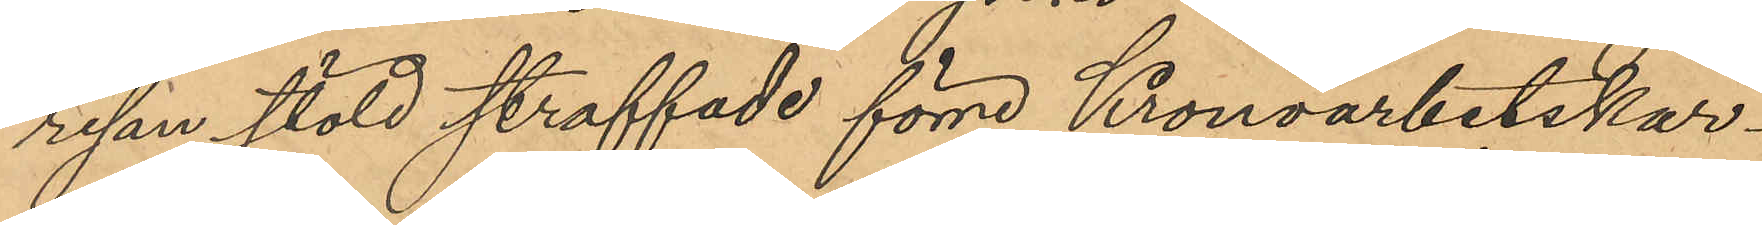resan stöld straffade förre Kronoarbetskar¬
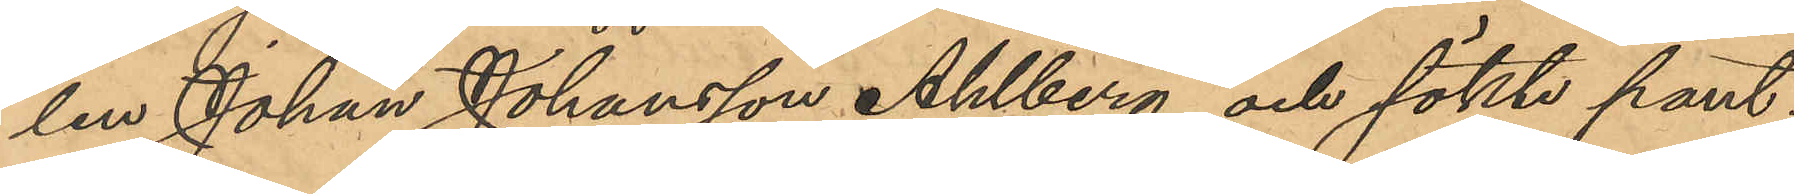len Johan Johansson Ahlberg och sökte pant¬
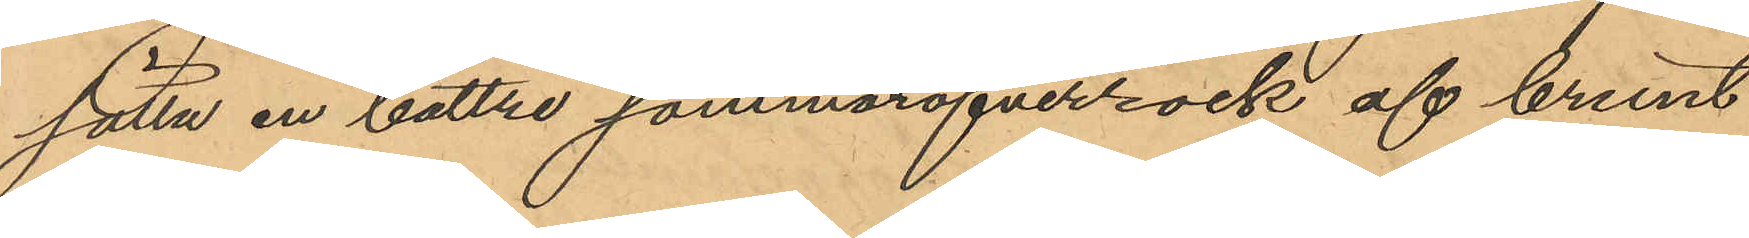sätta en bättre sommaröfverrock af brunt
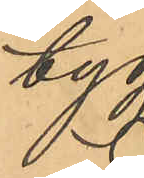tyg.
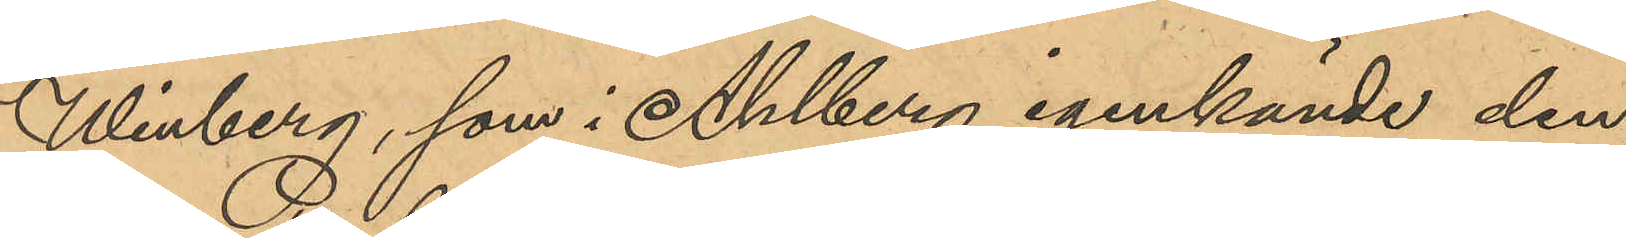Winberg, som i Ahlberg igenkände den,
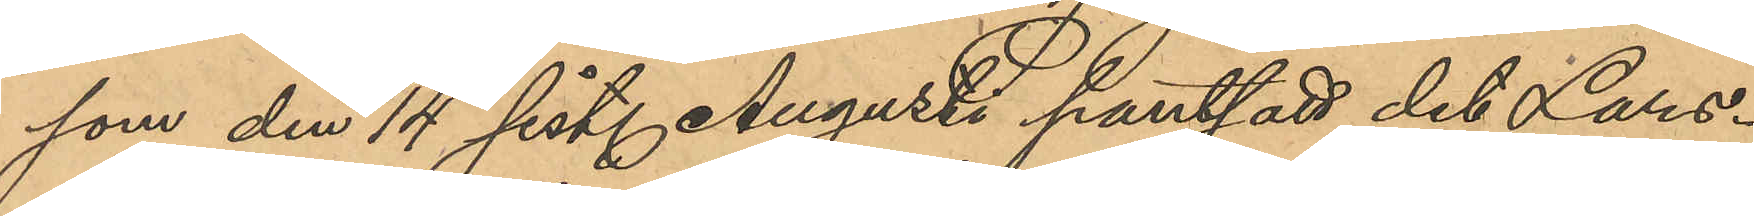som den 14 sist. Augusti pantsatt det Lars¬
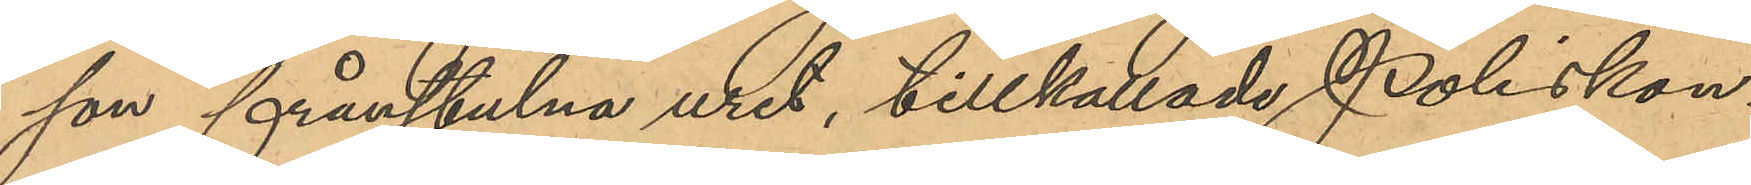son frånstulna uret, tillkallade Poliskon¬
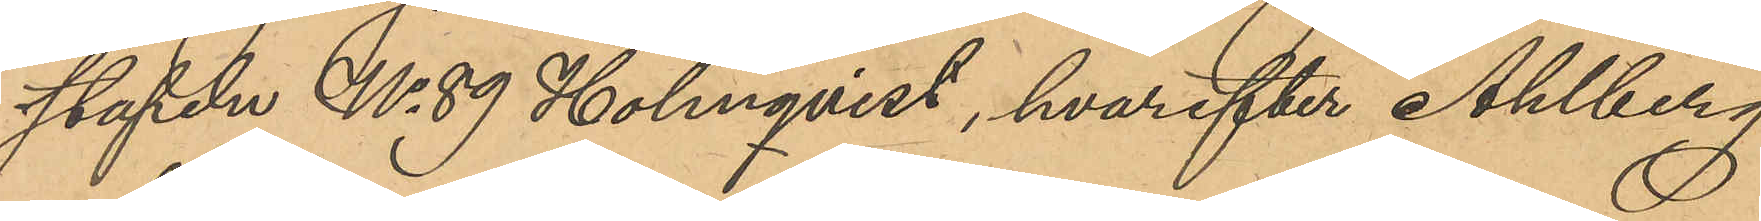stapeln No 89 Holmqvist, hvarefter Ahlberg
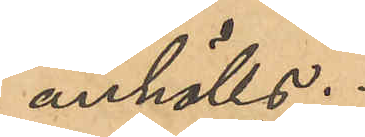anhölls.
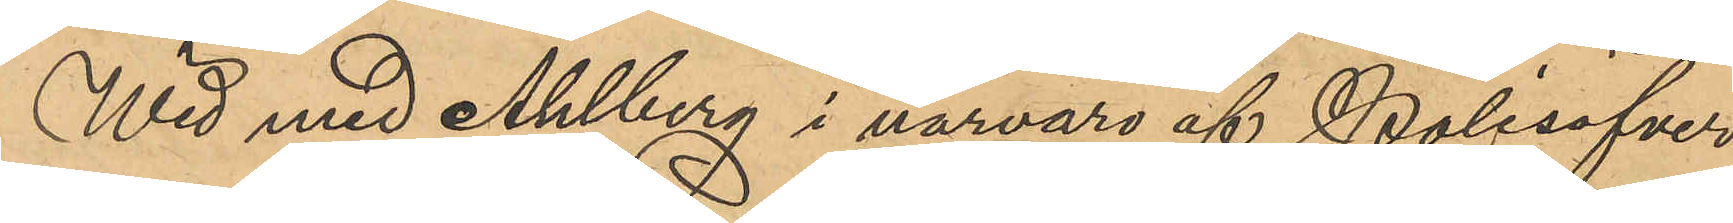Wid med Ahlberg i närvaro af Polisöfver¬
